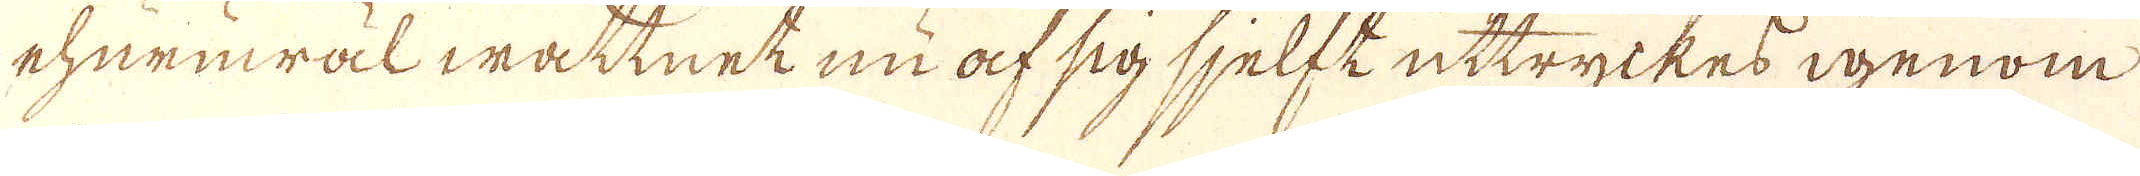ehuruwäl wattnet nu af sig sjelft uttryckes igenom
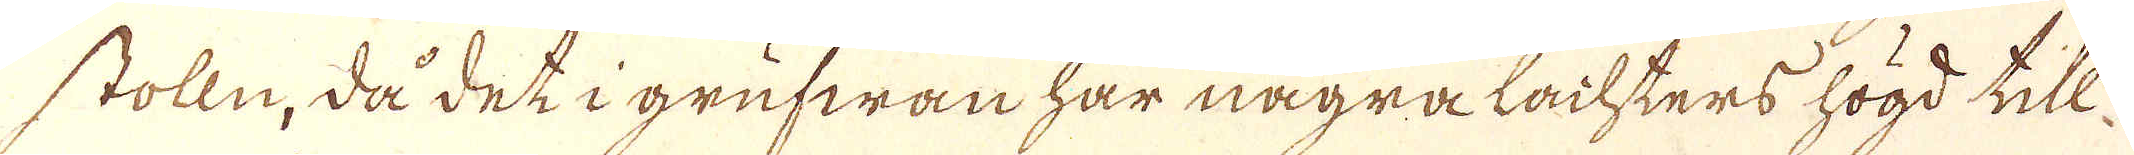stolln, då det i grufwan har några lachters högd till
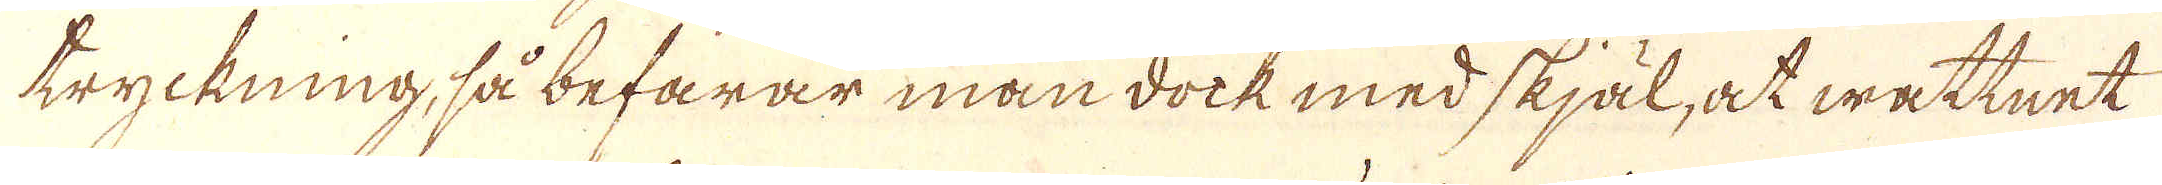tryckning, så befarar man dock med skjäl, at wattnet
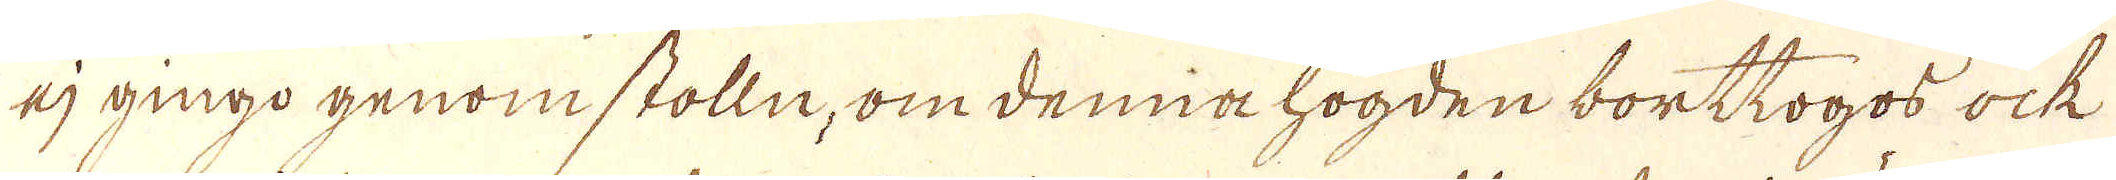ej gingo genom stolln, om denna högden borttogos ock
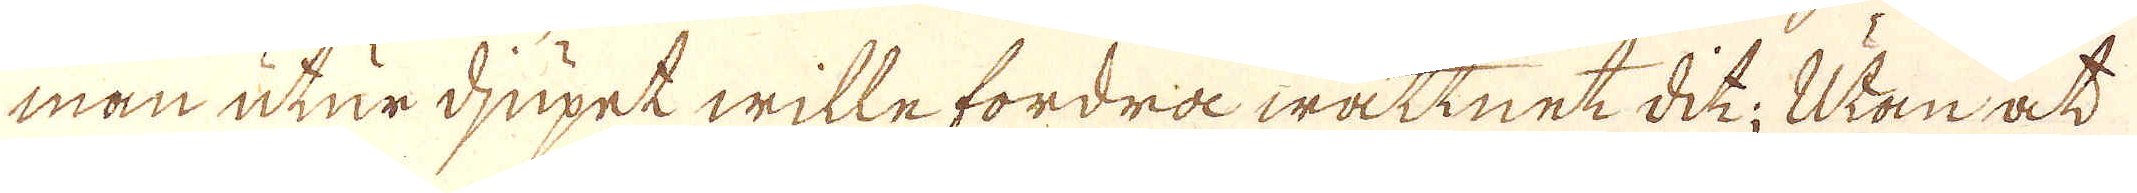man utur djupet wille fordra wattnet dit; Utan at
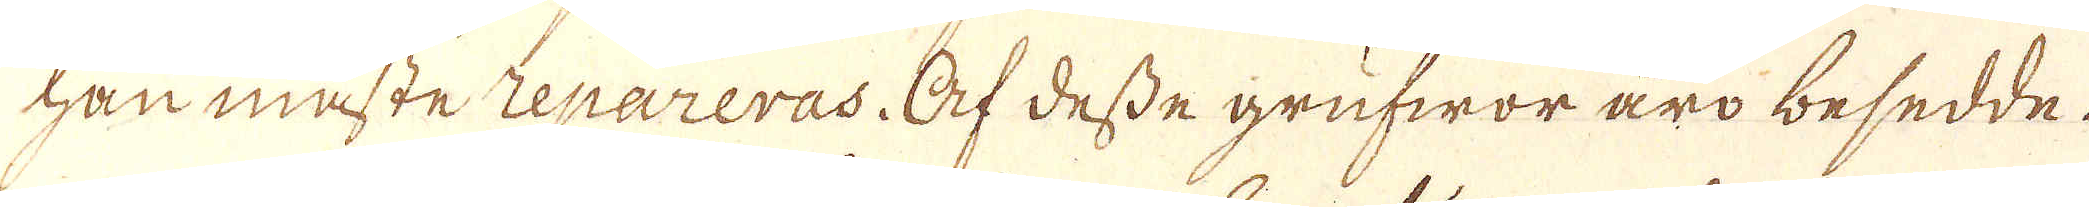han måste repareras. Af desse grufwor äro besedde.
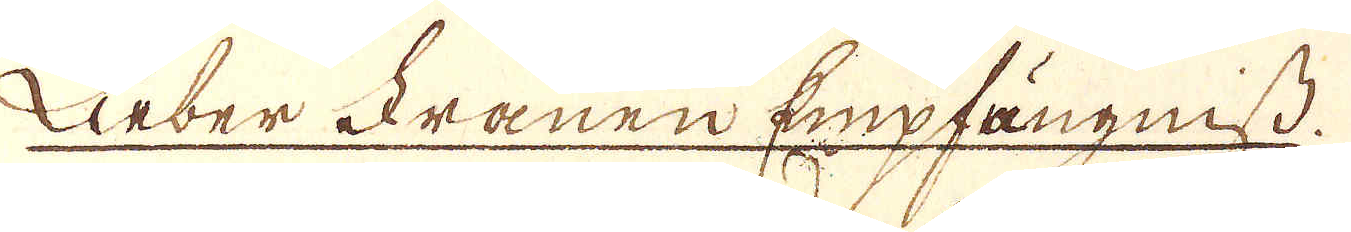Liber Frauen Empfängniß.
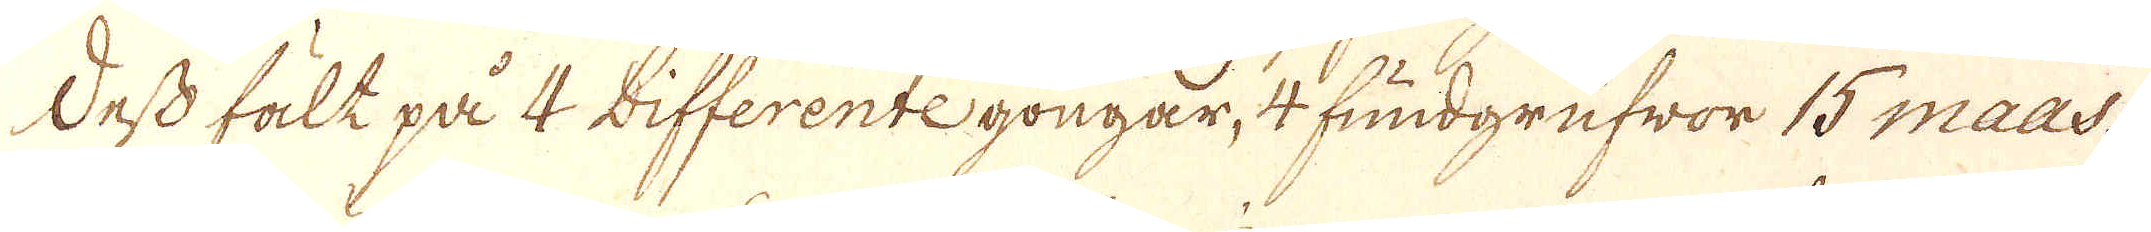Dess fält på 4 bifferente gongar, 4 fundgrufwor 15 maas.
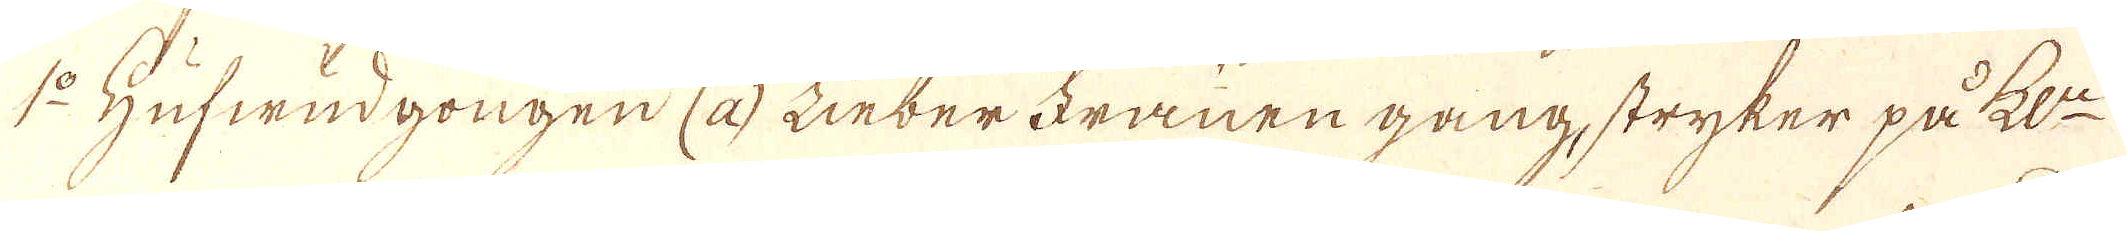1:o Hufwudgongen (a) Linber Franen gang, stryker på ke:n
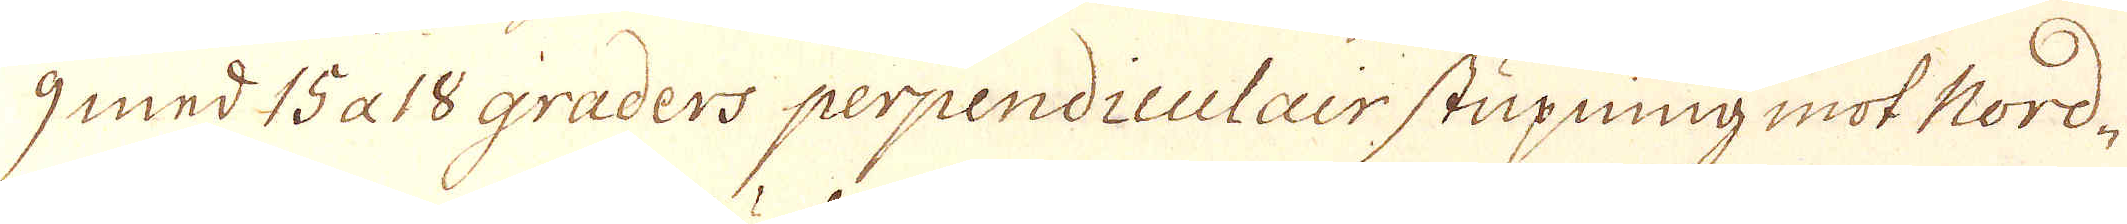9 med 15 a 18 graders perpendiculair stupning mot Nord-
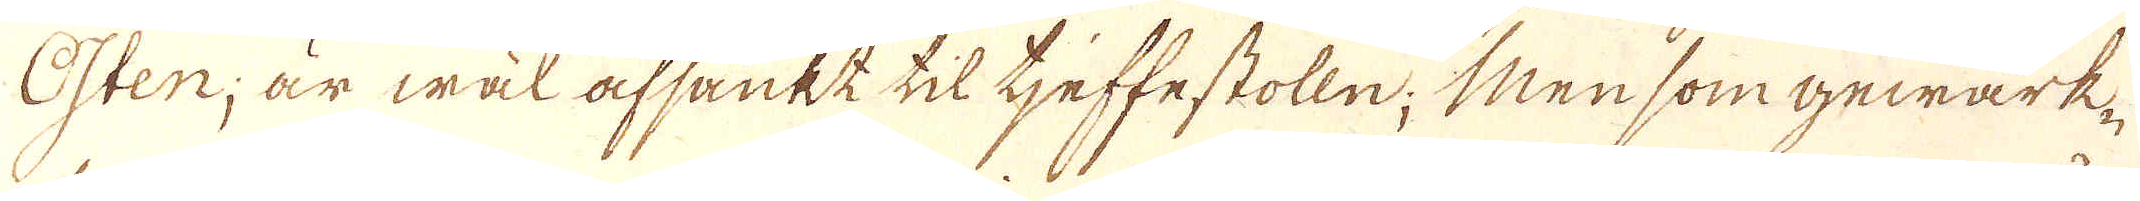Osten, är wäl afsänkt til tjeffe stolln; Men som gewärk-
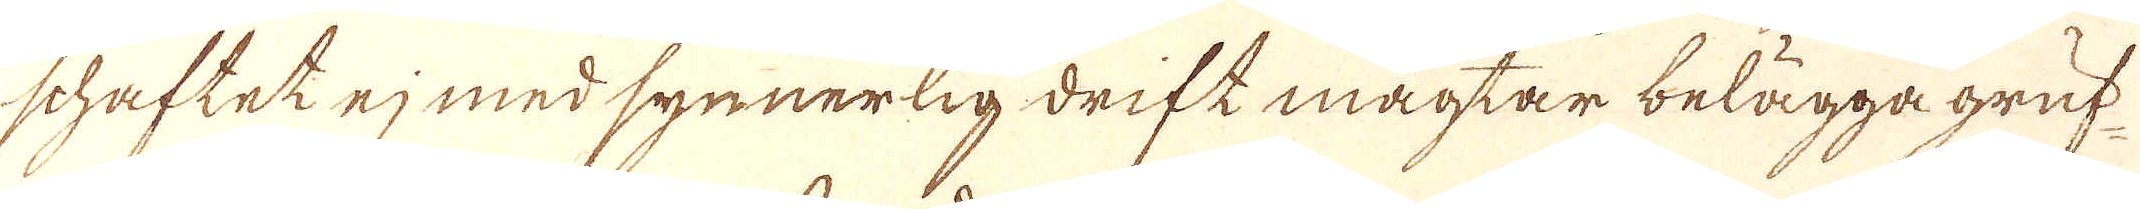schaftet ej med synnerlig drift magtar belägga gruf-
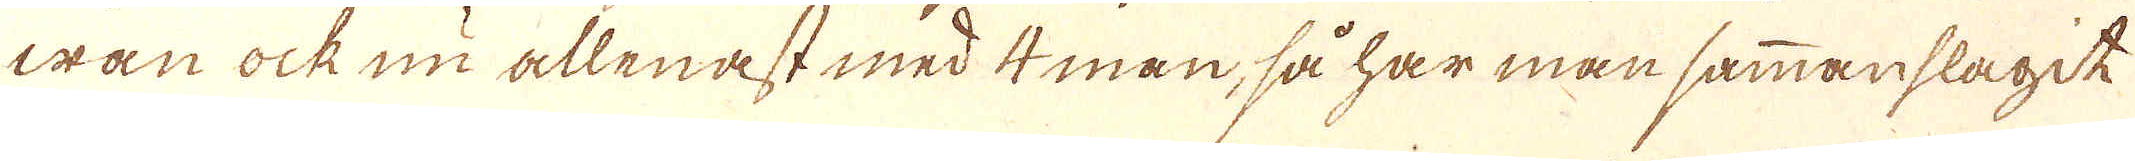wan ock nu allenast med 4 man, så har man sammanslagit
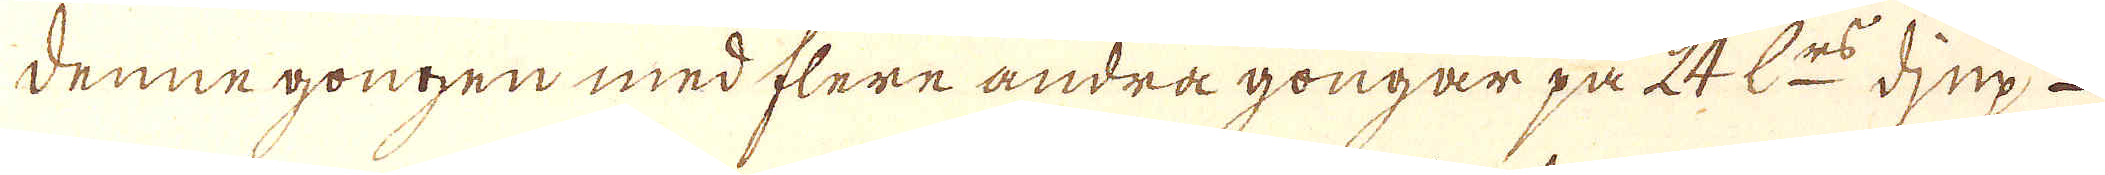denne gongen med flere andra gongar på 24 L:rs djup
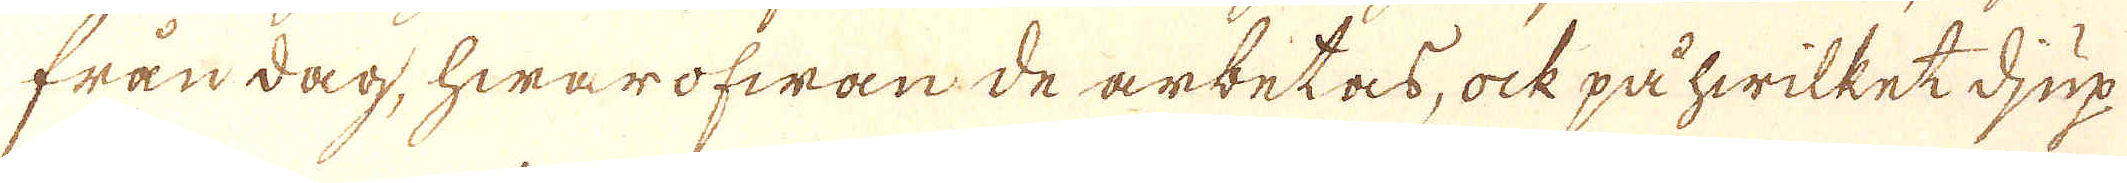från dag, hwarofwan de arbetas, ock på hwilket djup
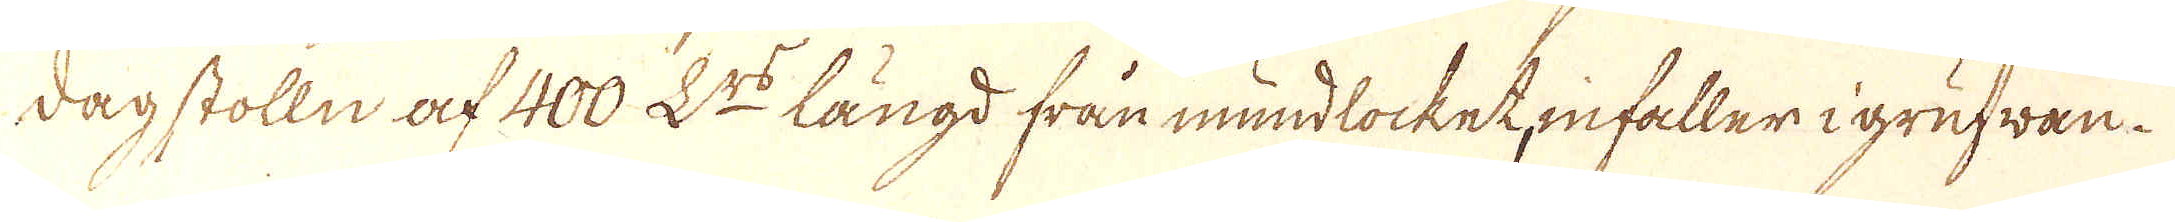dagstolln af 400 L:rs längd från mundlocket, infaller i grufwan.
